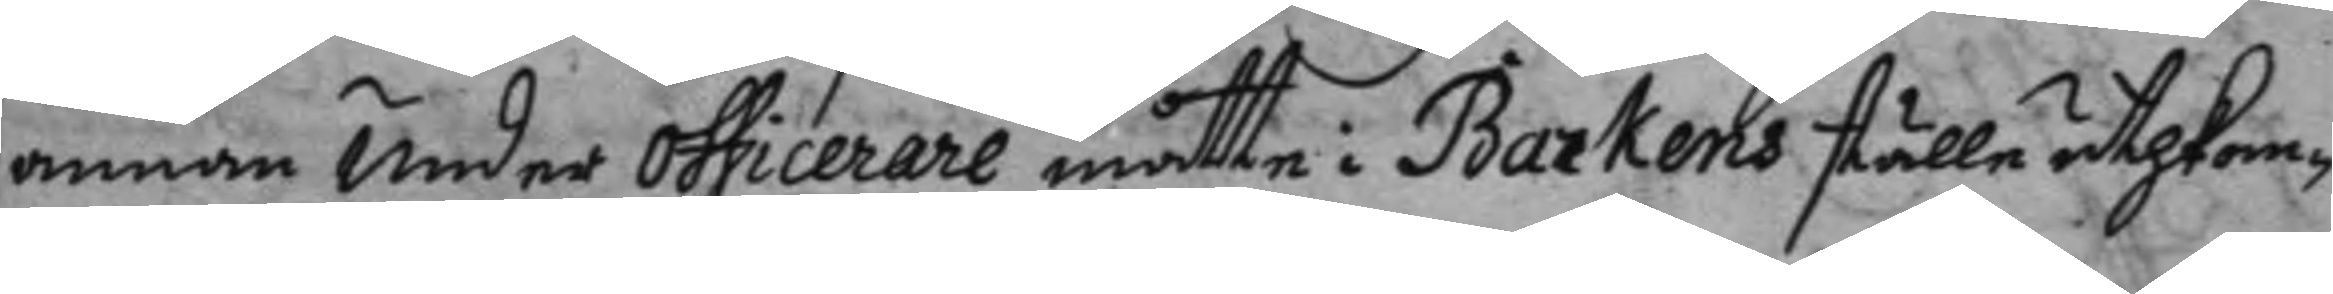annan Under officerare måtte i Barkens ställe uthkom¬
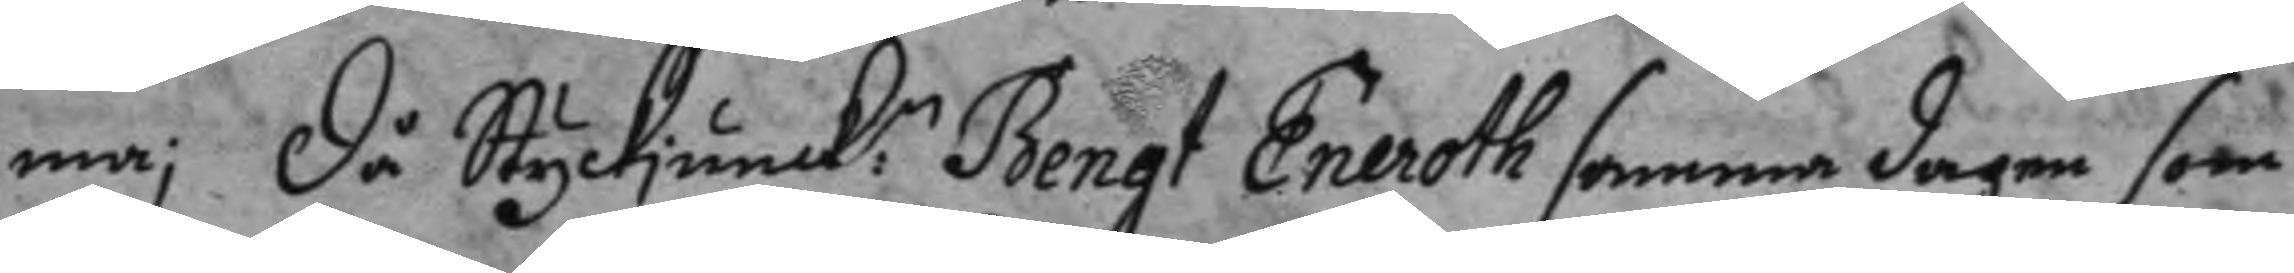ma; då Styckjunck:n Bengt Eneroth samma dagen som
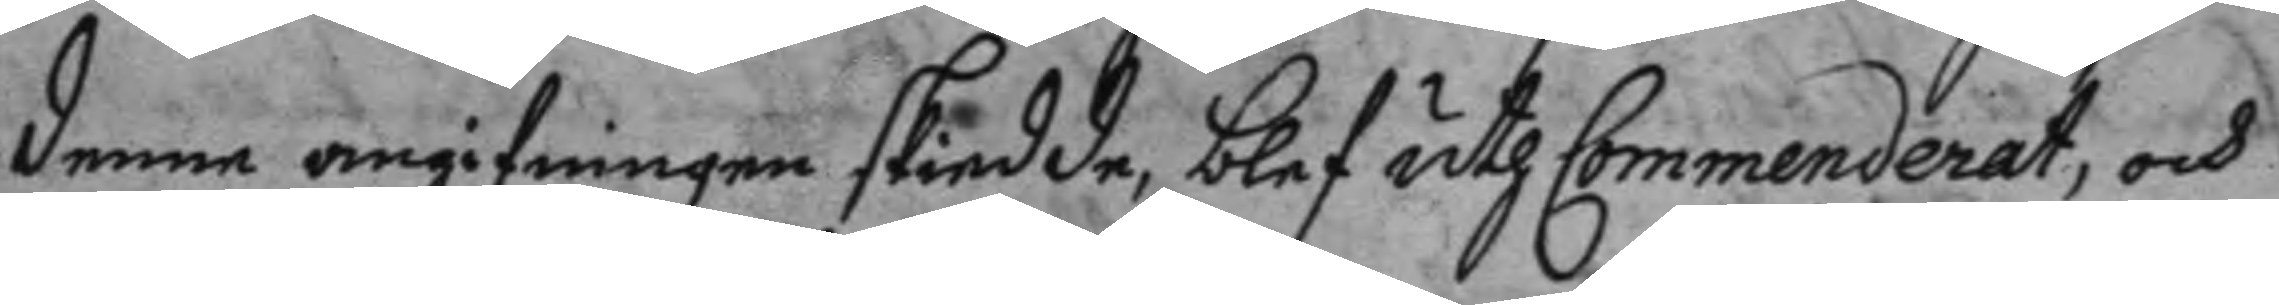denna angifningen skiedde, blef uthCommenderat, och
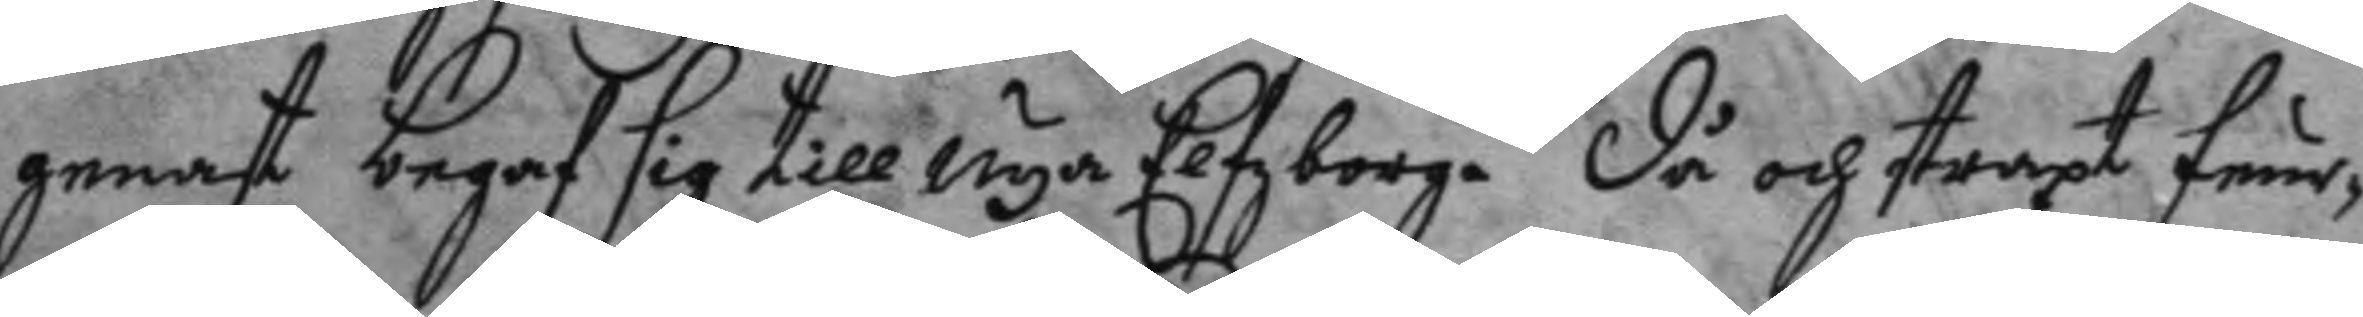genast begaf sig till Nya Elfzborg. Då och straxt feur¬
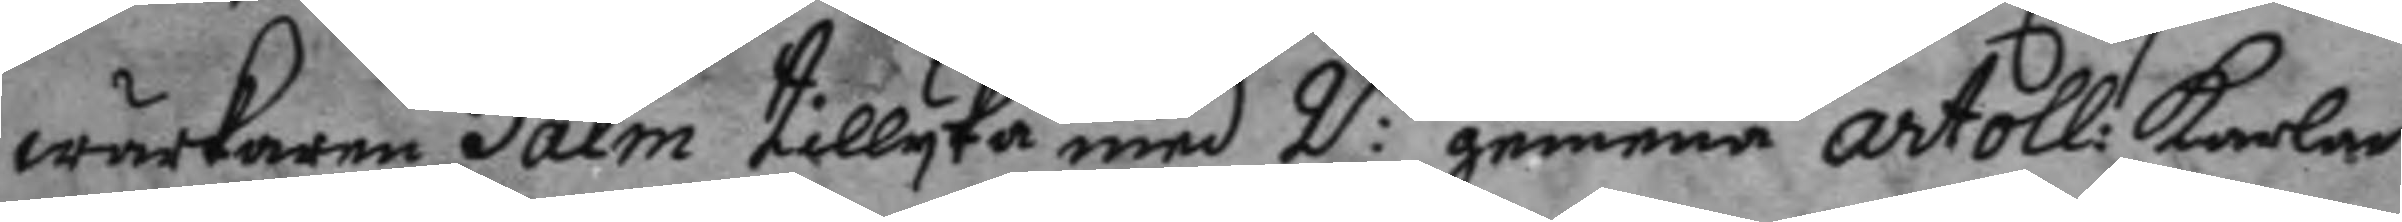wärkaren Palm tillyka med 2:ne gemena artol: karlar
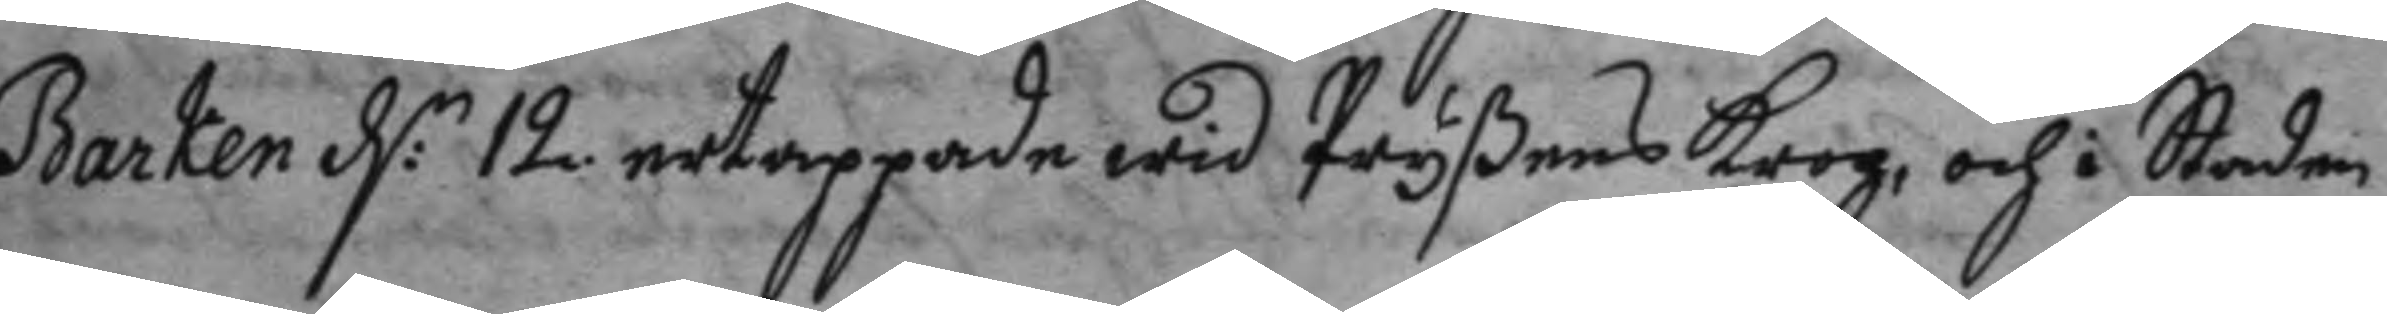Barken d:n 12 ertappade wid Pryßens krog: och i Staden
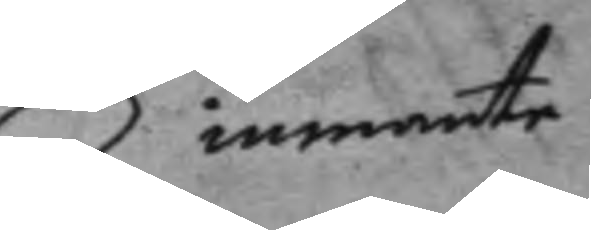inmante
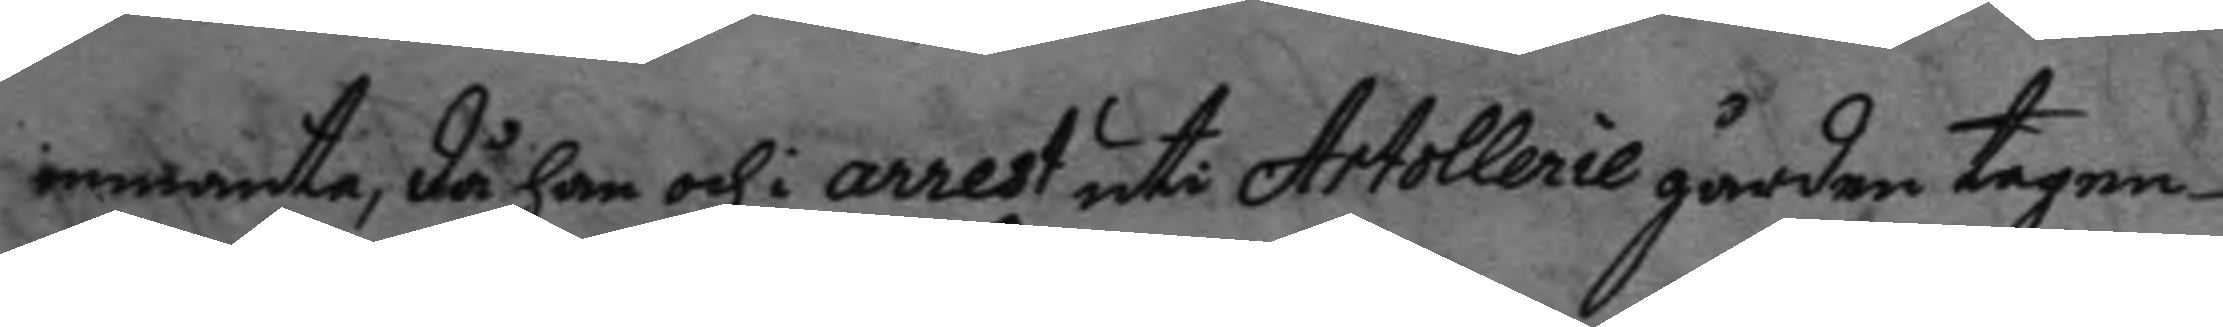inmante, då han och i arrest uti Artollerie gården tagen
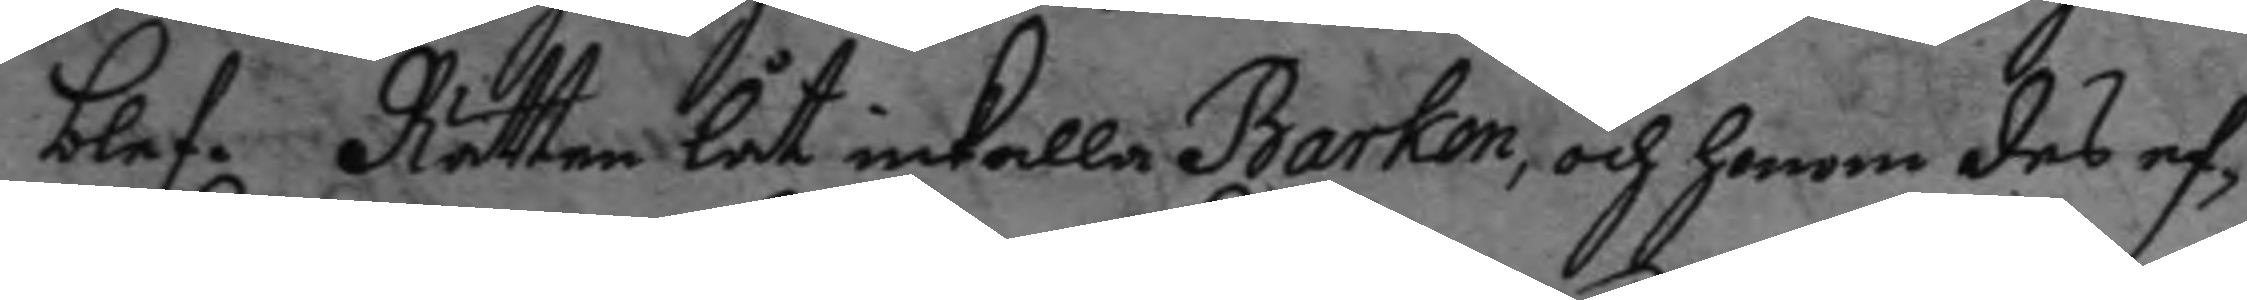blef. Rätten låt inkalla Barken, och honom des ef¬
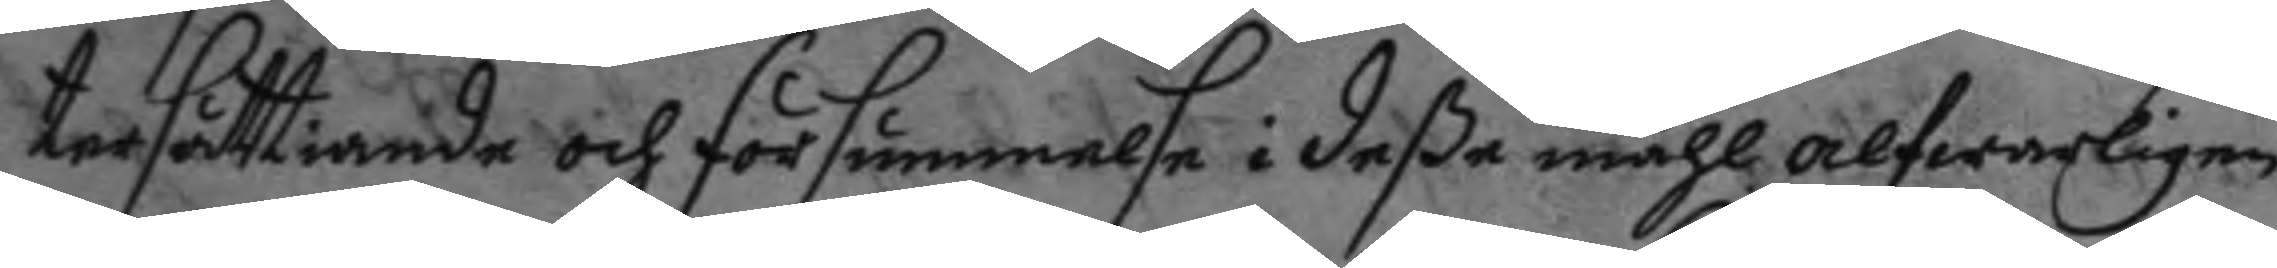tersättiande och försummelse i deße måhl alfwarligen
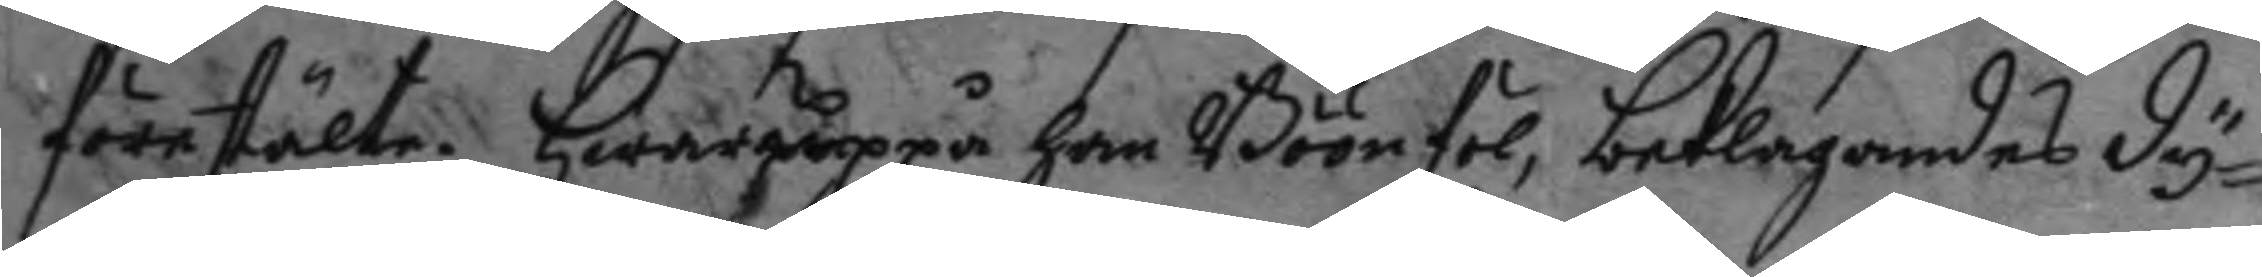förestälte. Hwaruppå han Böönföl, beklagandes dy¬
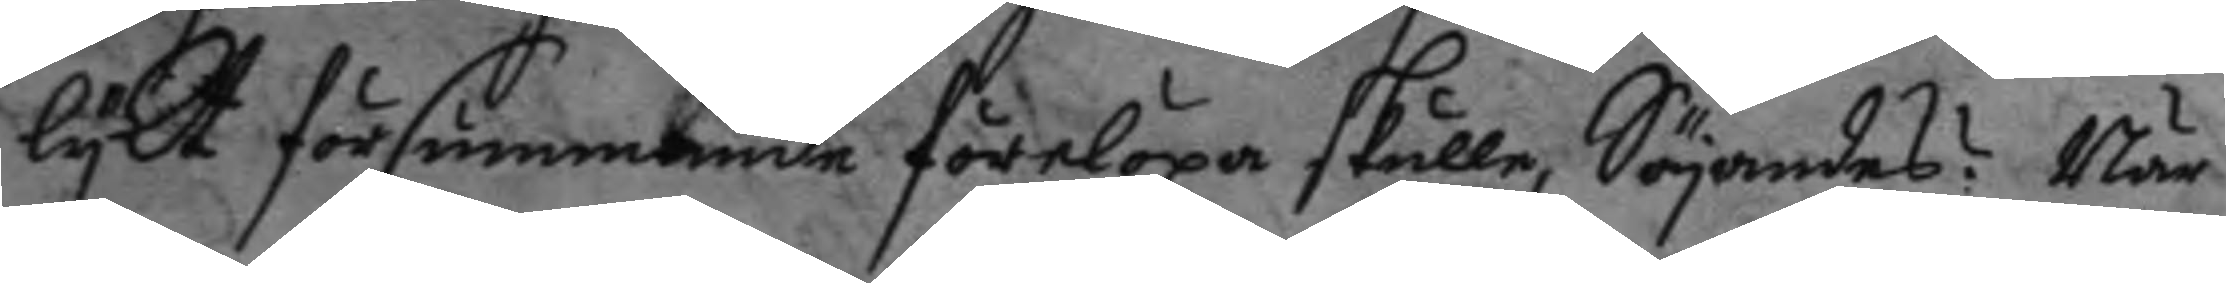lykt försummande förelöpa skulle, Säyandes? När
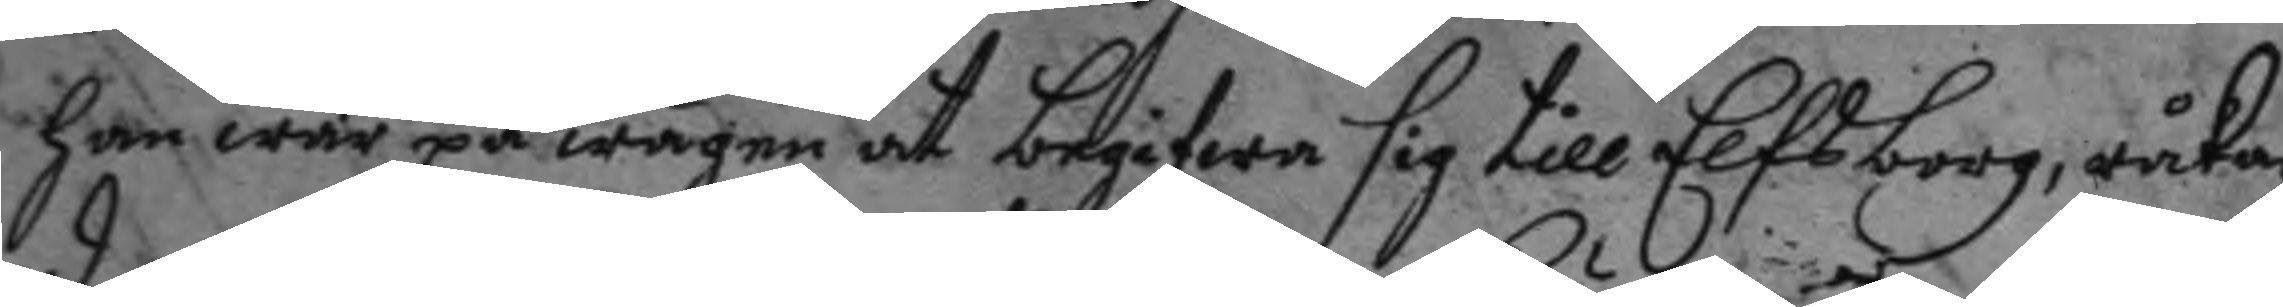han war på wägen ay begifwa sig till Elfsborg, råka¬
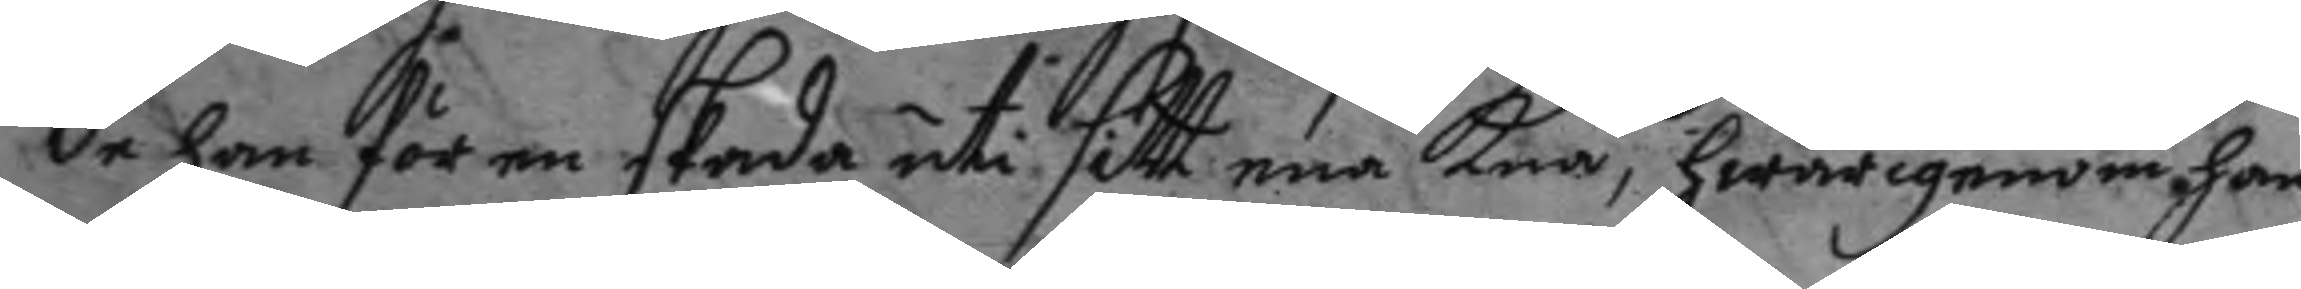de han för en skada uti sitt ena Knä, hwarigenom han
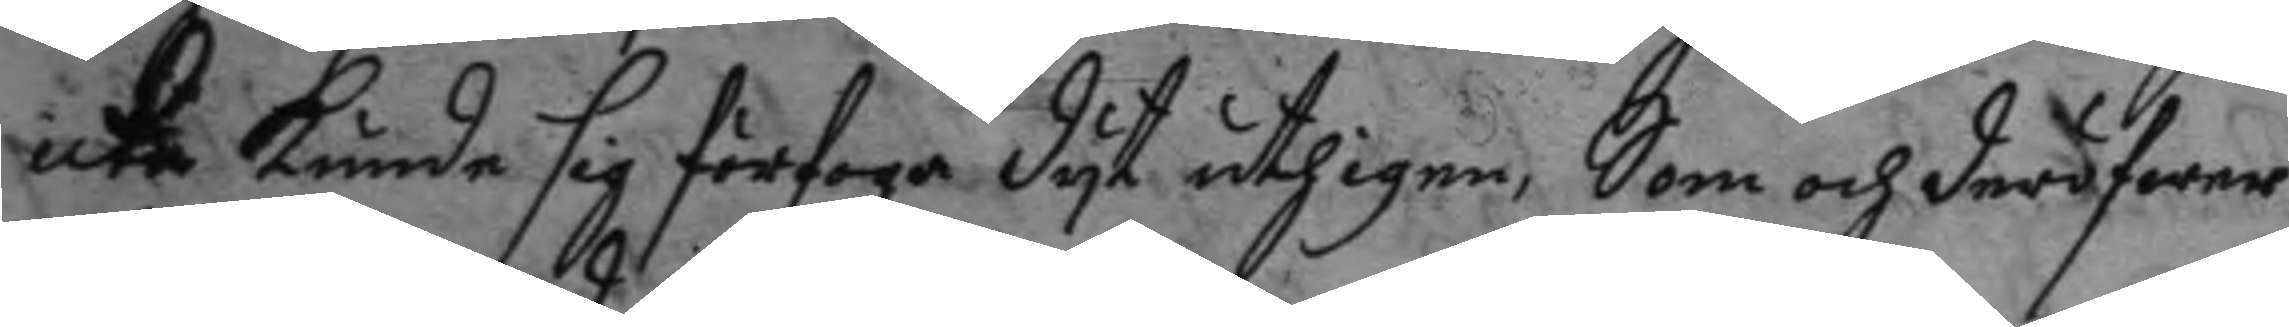icke kunde sig förfoga dyt uthigen, Som och deröfwer
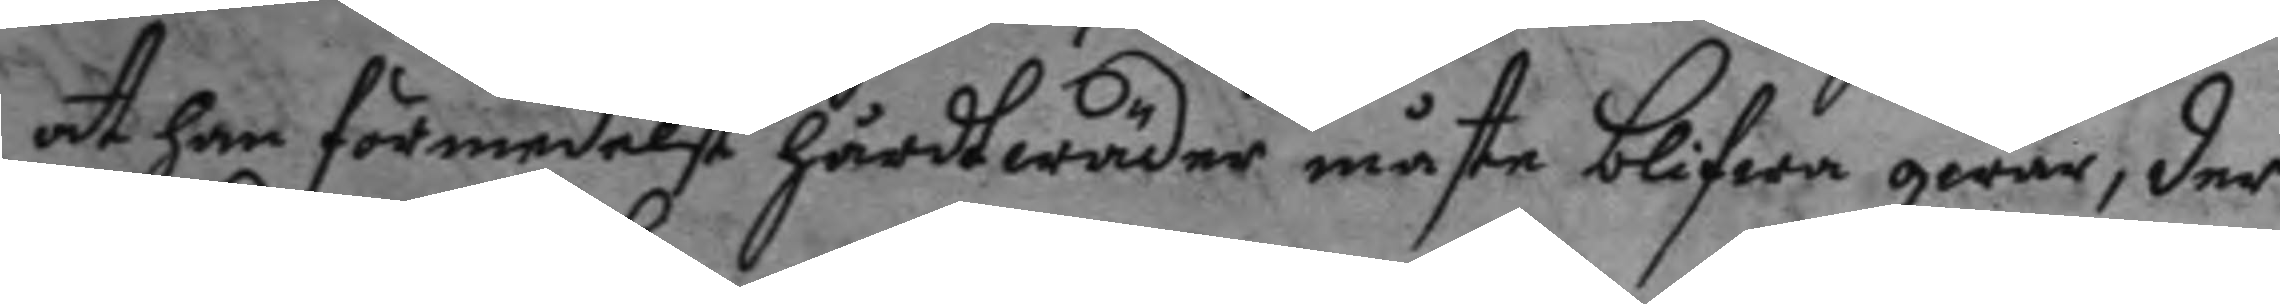at han förmedelst hårdt wäder måste blifwa qwar, der
